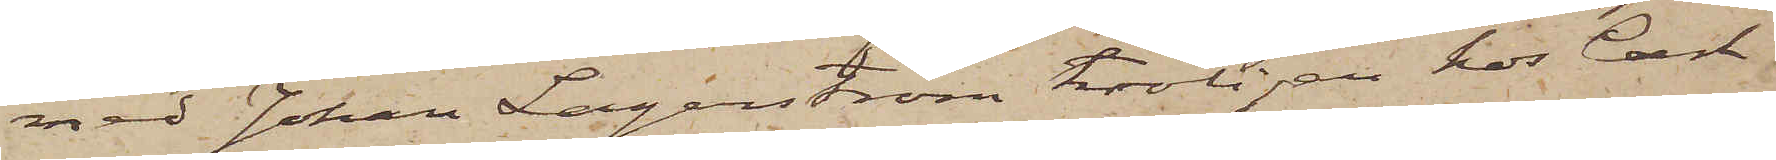med Johan Lagerström troligen hos Carl
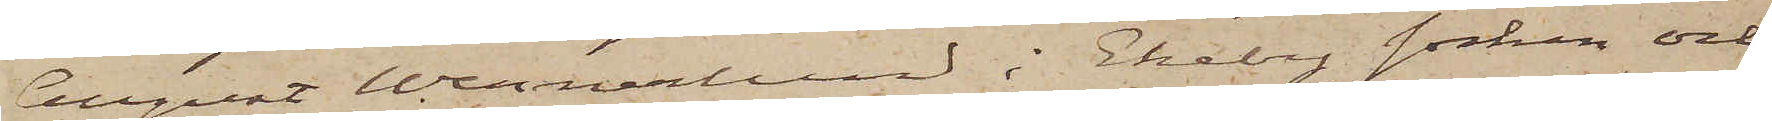August Wennerlund i Ekeby socken och
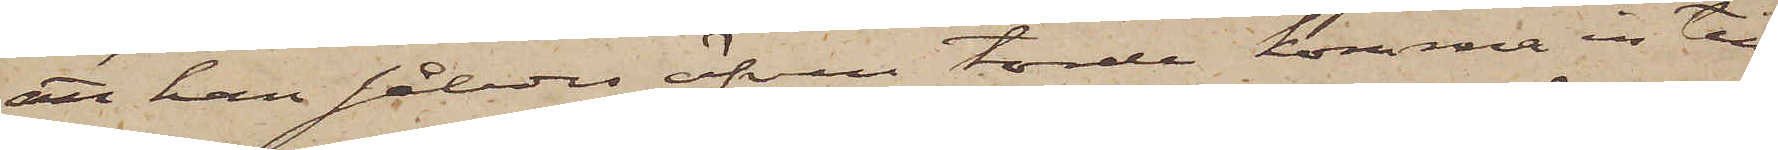att han således äfven torde komma in till
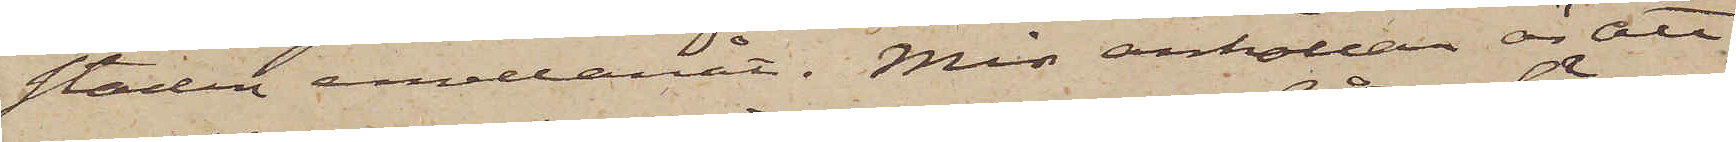staden emellanåt. Min anhållan är att
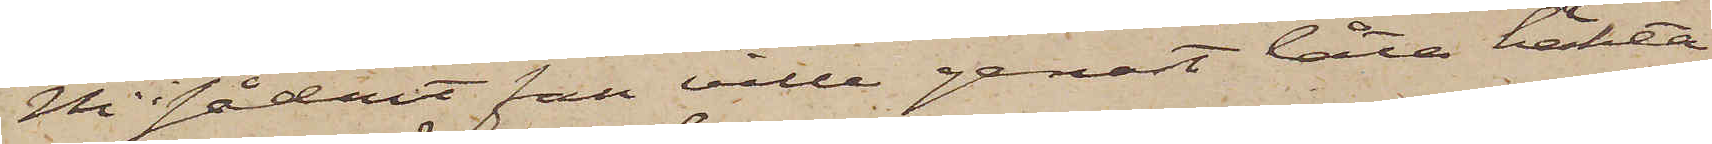Ni i sådant fall ville genast låta häkta
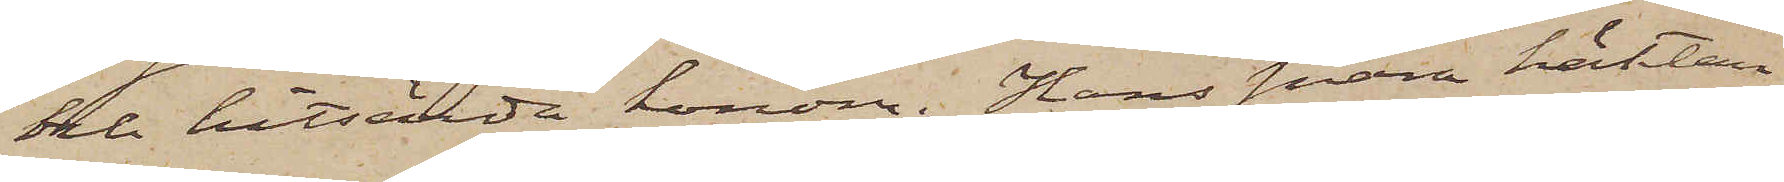och hitsända honom. Hans snara häktan¬
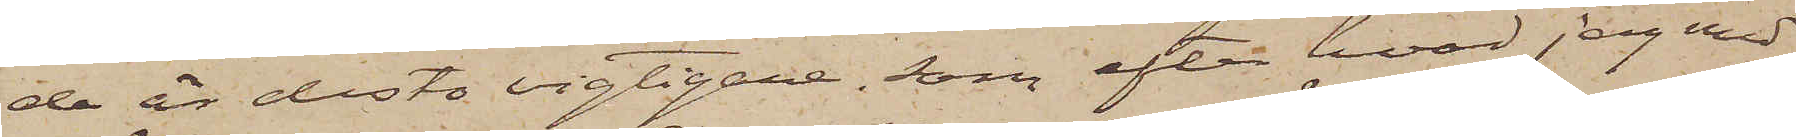de är desto vigtigare, som efter hvad jag med
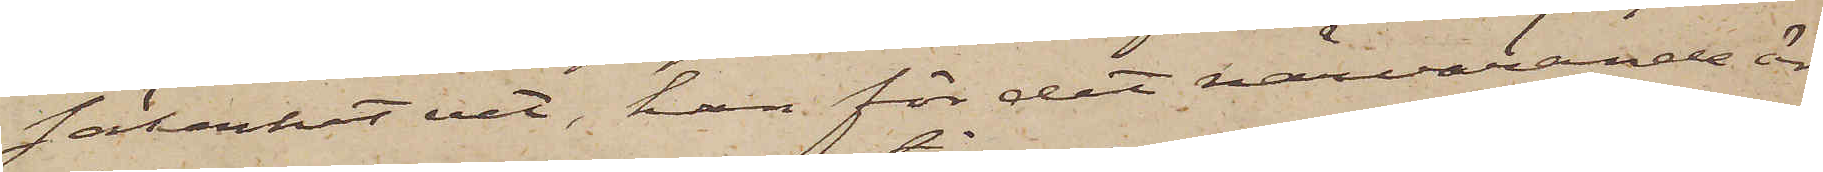säkerhet vet, han för det närvarande är
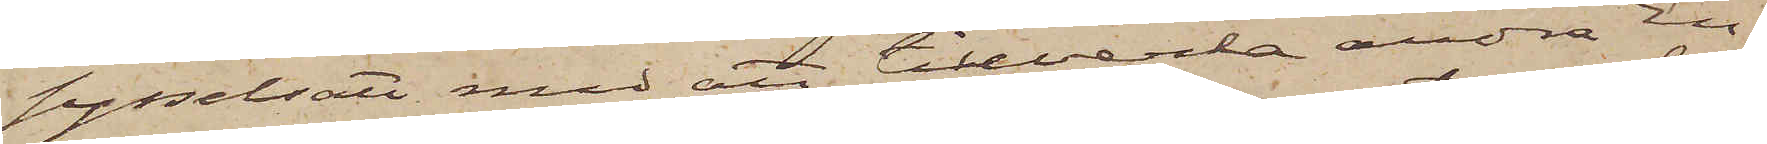sysselsatt med att tillverka andra En¬
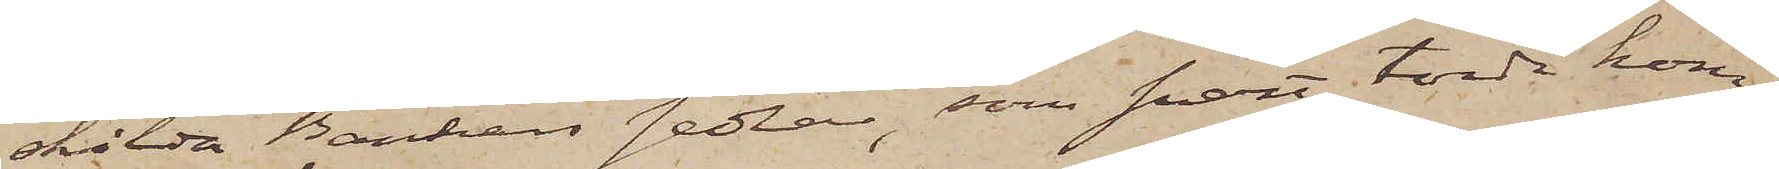skilda Bankers sedlar, som snart torde kom¬
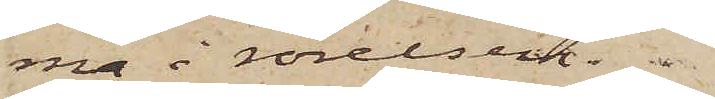ma i rörelsen. 
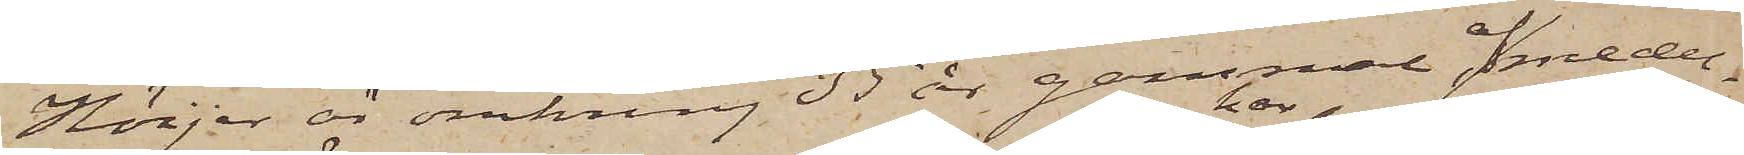Höijer är omkring 35 år gammal, af medel¬
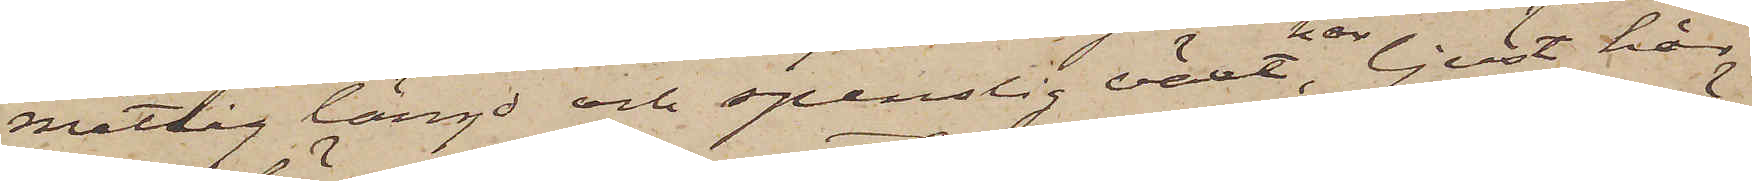måttlig längd och spenslig växt, har ljust hår
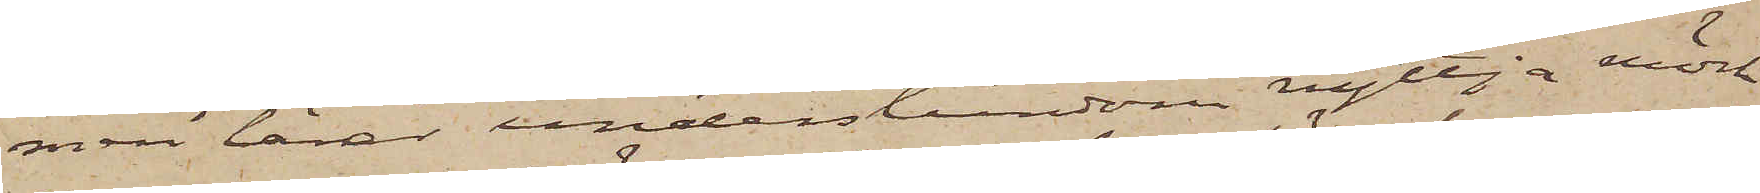men lärer understundom nyttja mörk
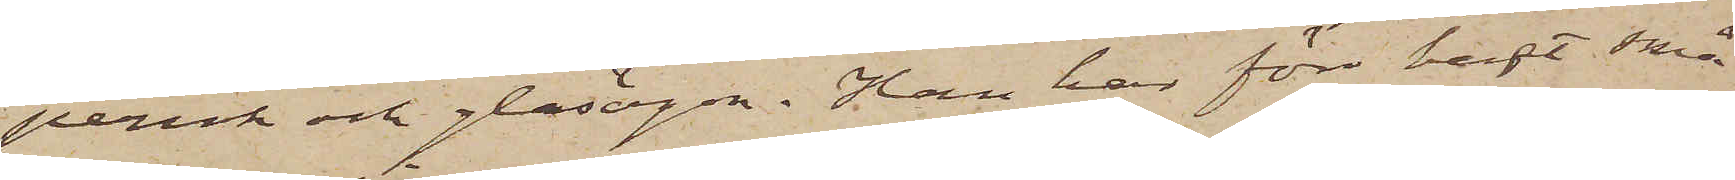peruk och glasögen, Han har förr haft små
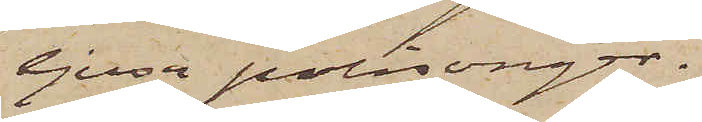ljusa polisonger.
